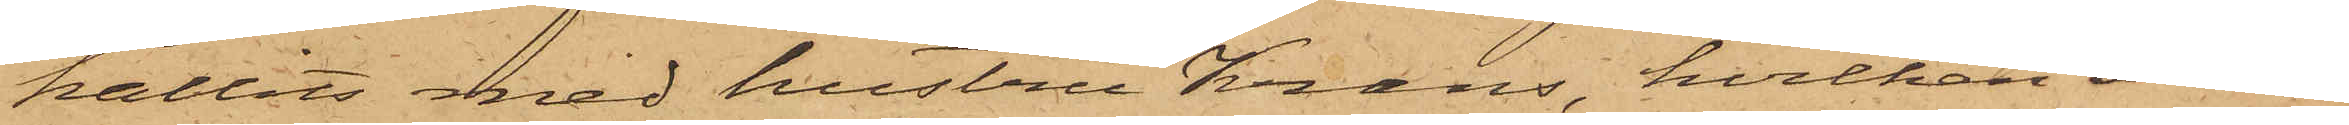hållits med hustru Krans, hvilken an¬
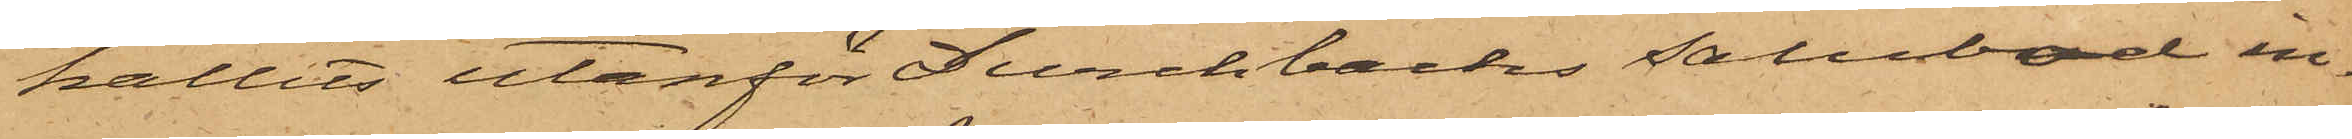hållits utanför Durchbachs salubod in¬
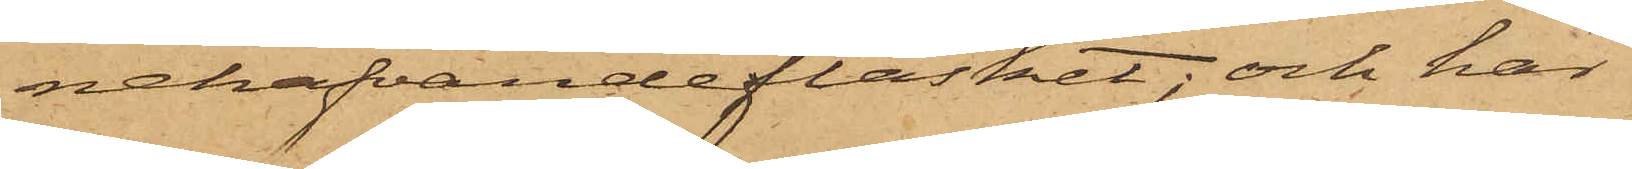nehafvande fläsket; och har
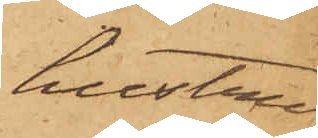hustru
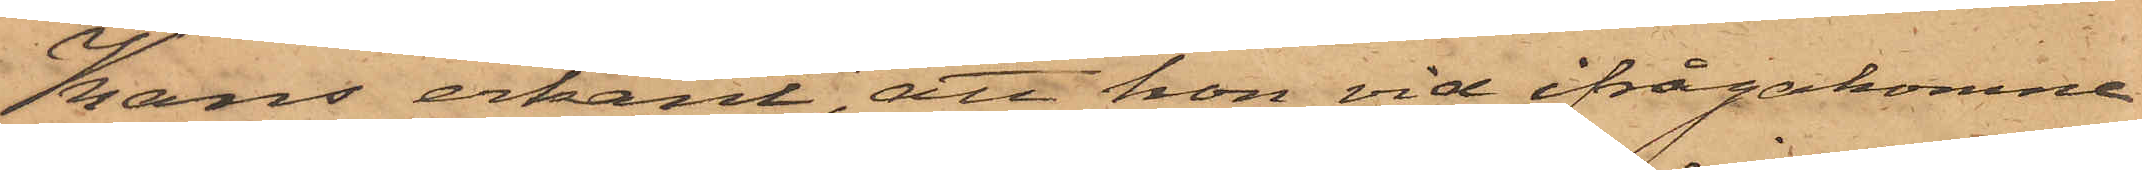Krans erkänt, att hon vid ifrågakomne
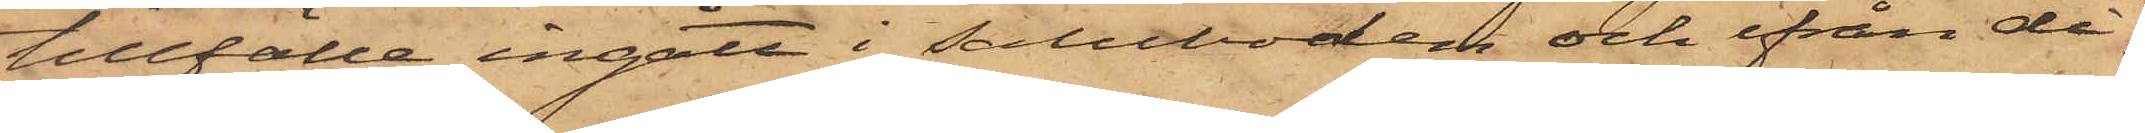tillfälle ingått i saluboden och ifrån di¬
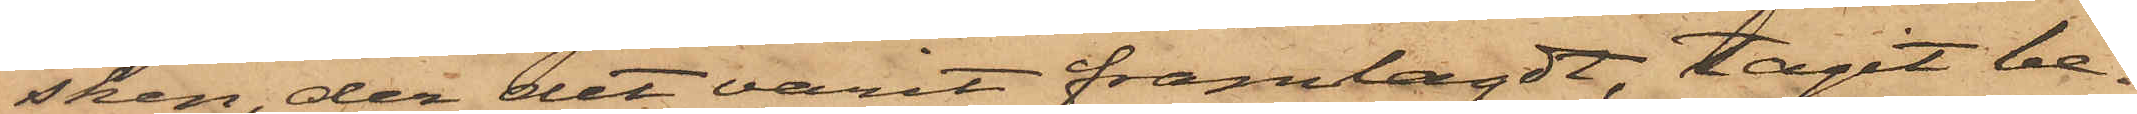sken, der det varit framlagdt, tagit be¬
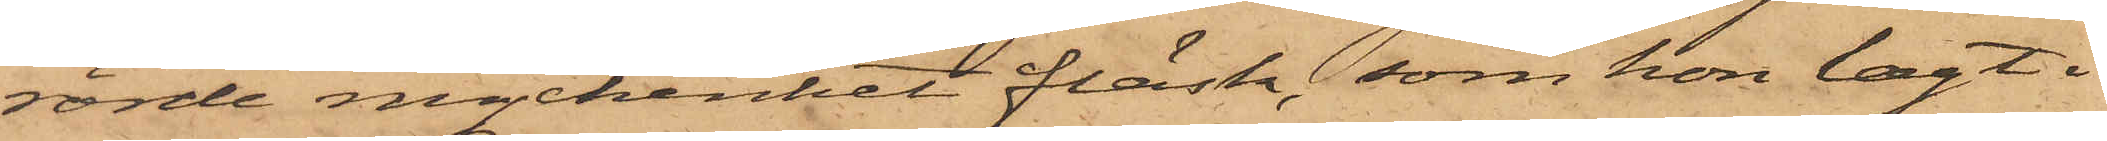rörde myckenhet fläsk, som hon lagt i
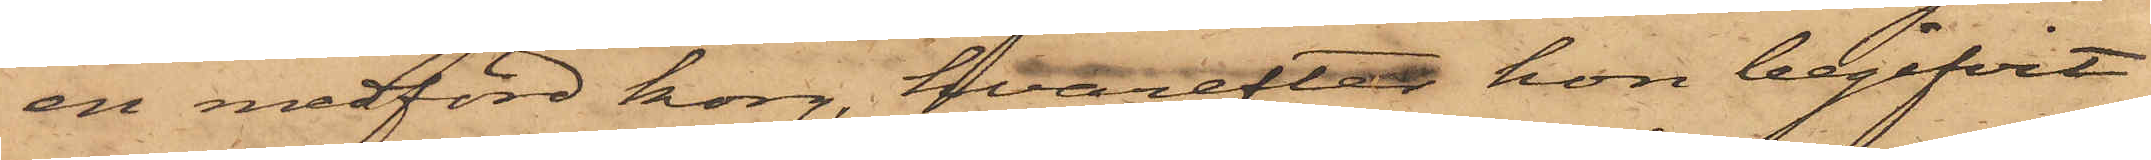en medförd korg, hvarefter hon begifvit
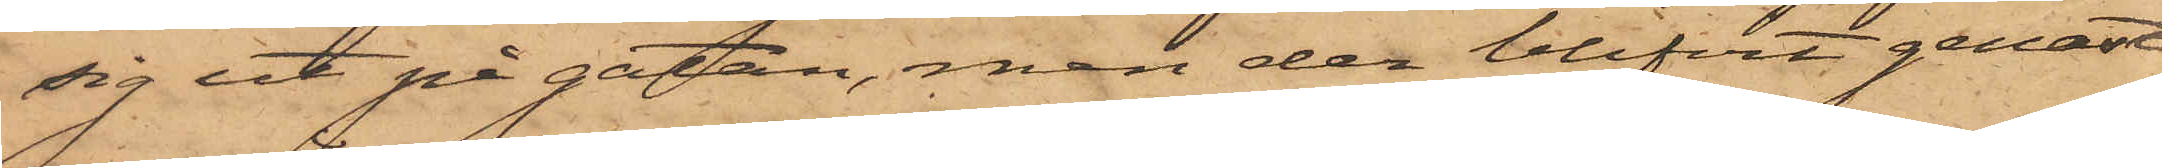sig ut på gatan, men der blifvit genast
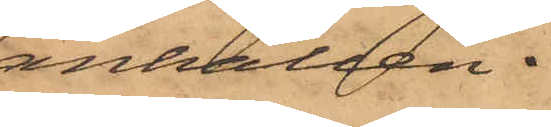anhållen.
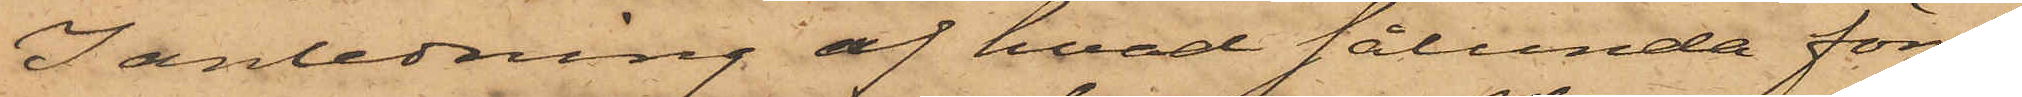I anledning af hvad sålunda före¬
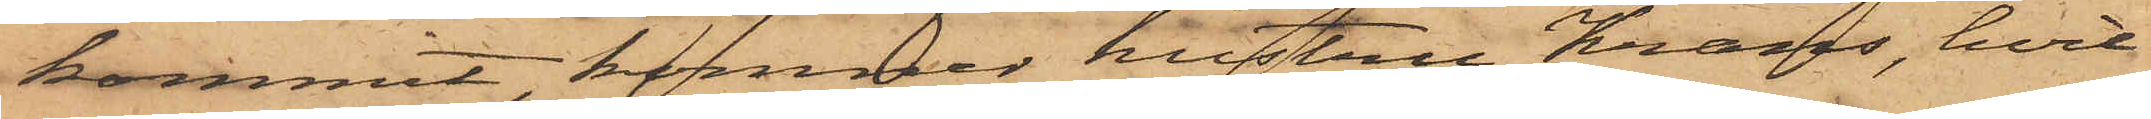kommit, kommer hustru Krans, hvil¬
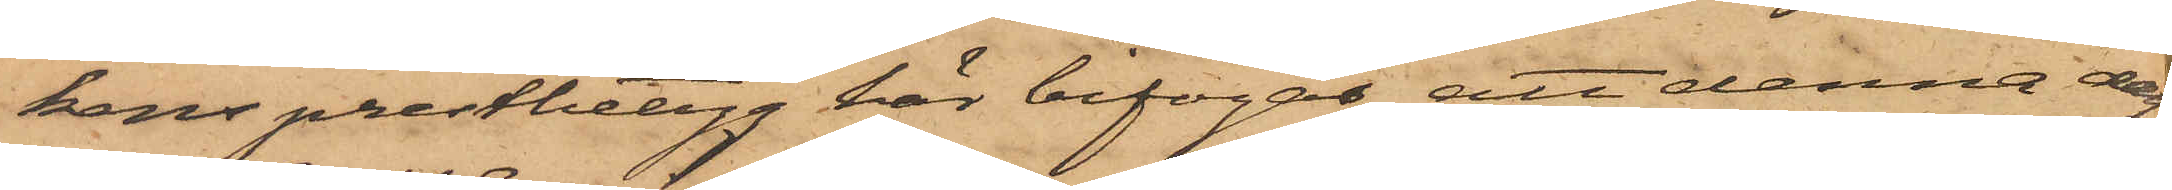kens prestbetyg här bifogas, att denna dag
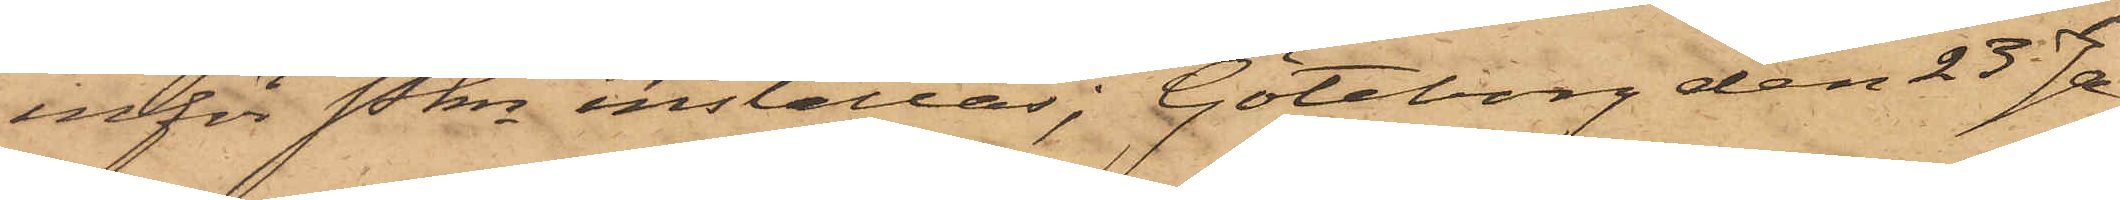inför Pkn inställas. Göteborg den 25 Ja¬
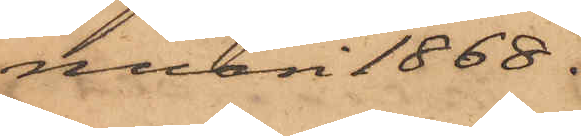nuari 1868.
